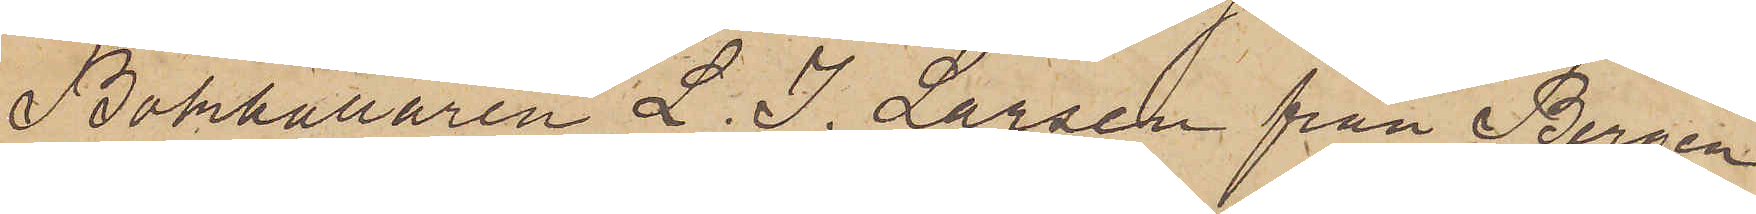Bokhållaren L. J. Larsen från Bergen,
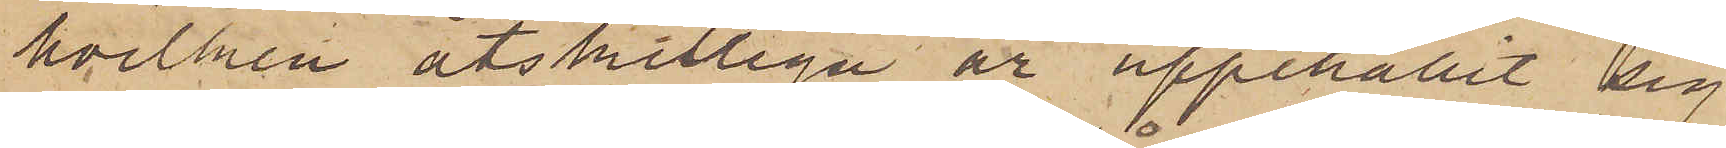hvilken åtskilliga år uppehållit sig
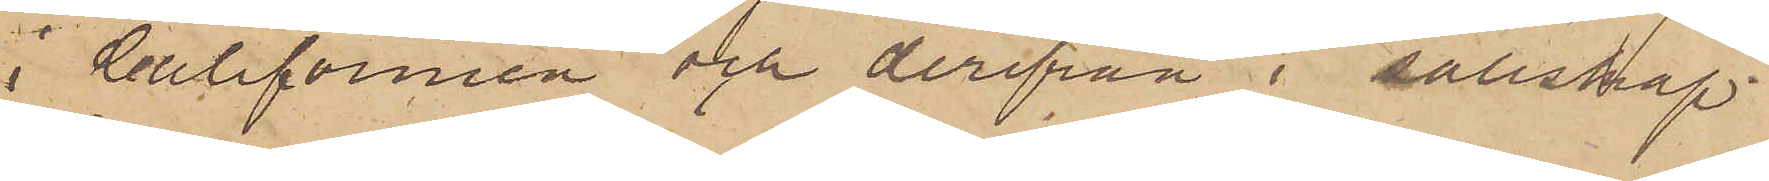i Californien och derifrån i sällskap
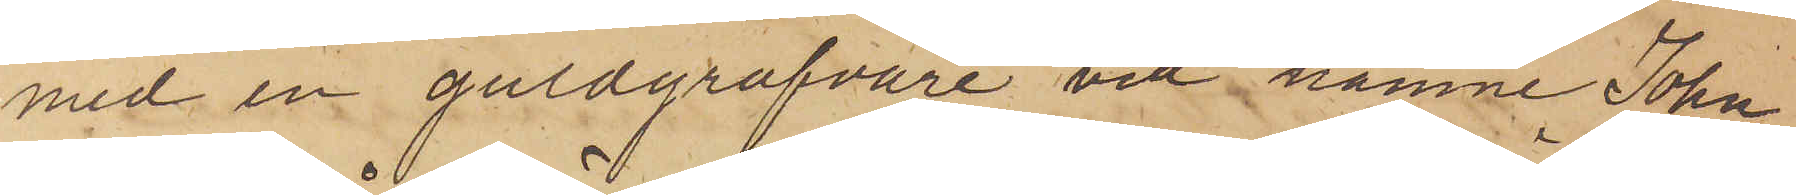med en guldgräfvare vid namn John
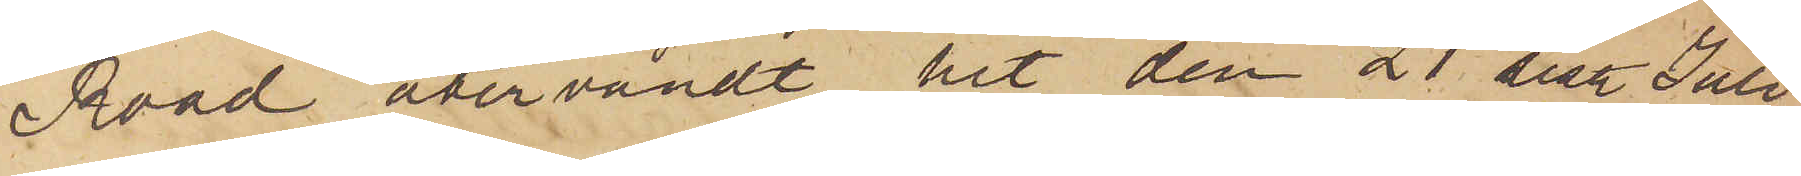Road återvändt hit den 21 sist. Juli,
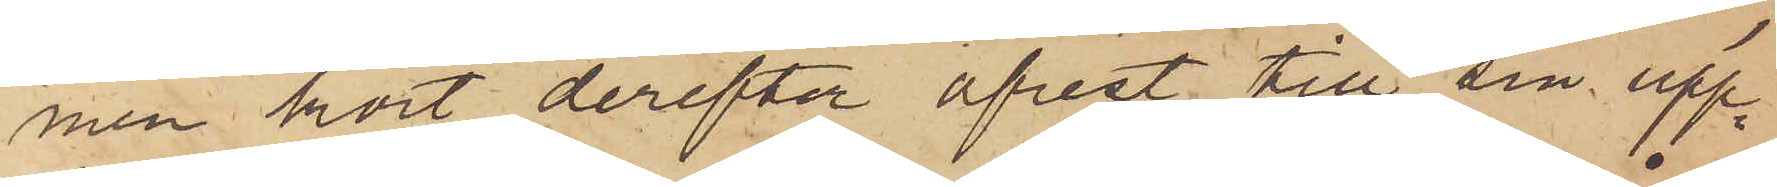men kort derefter afrest till sin upp¬
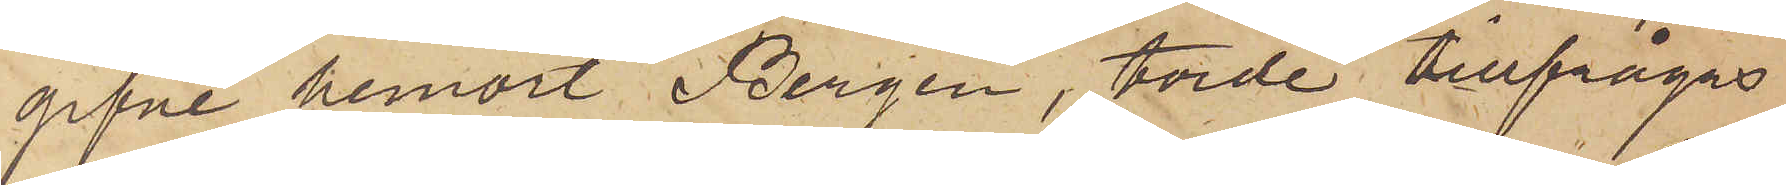gifne hemort Bergen, torde tillfrågas
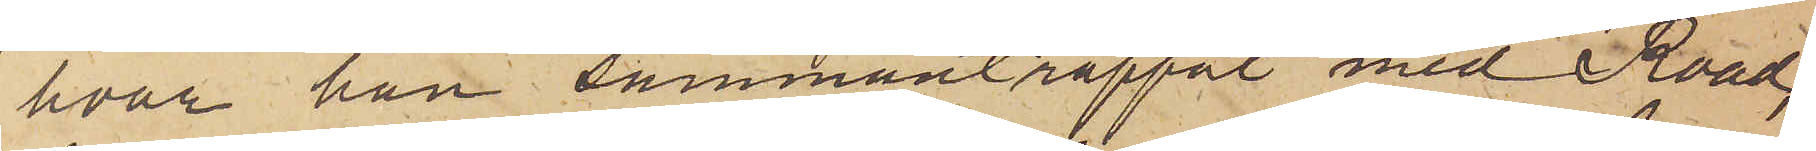hvar han sammanträffat med Road,
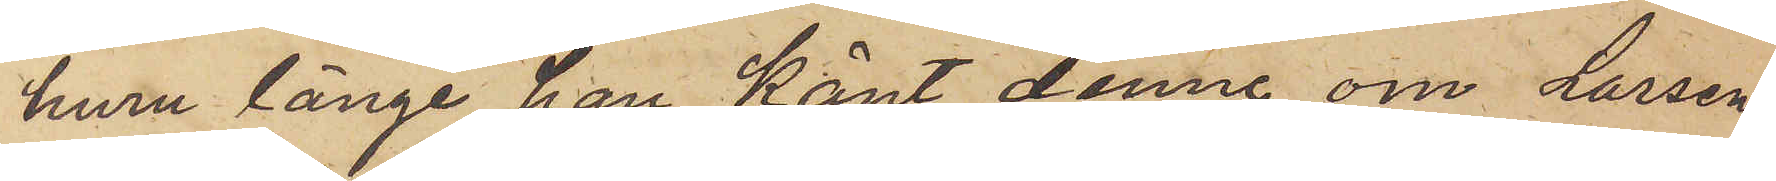huru länge han känt denne, om Larsen
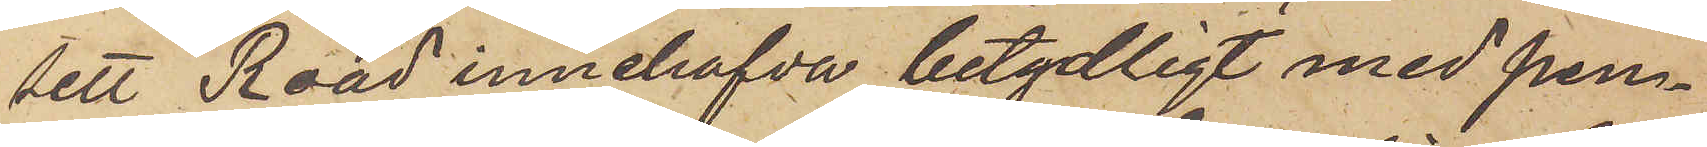sett Road innehafva betydligt med pen¬
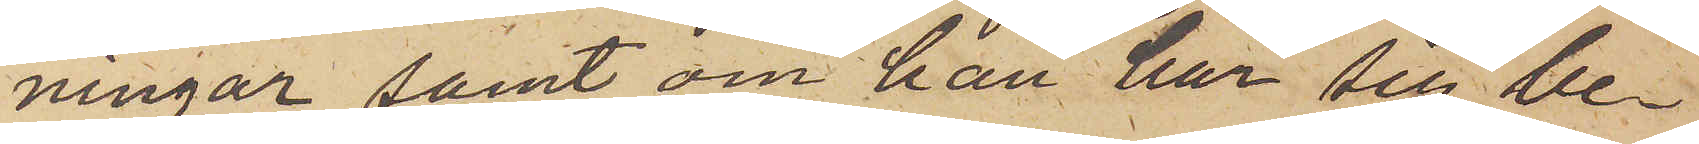ningar samt om han har sig be¬
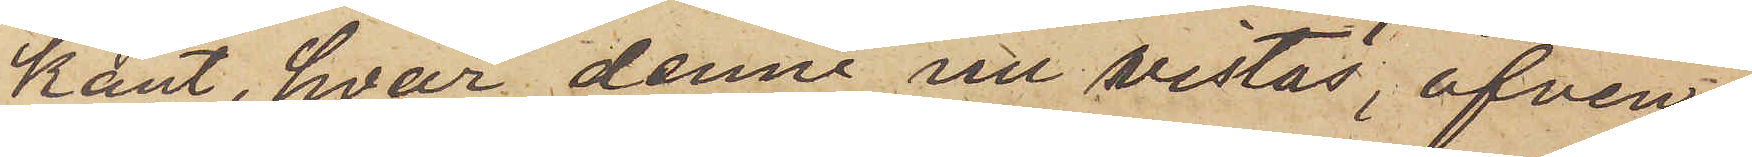kant, hvar denne nu vistas, äfven¬
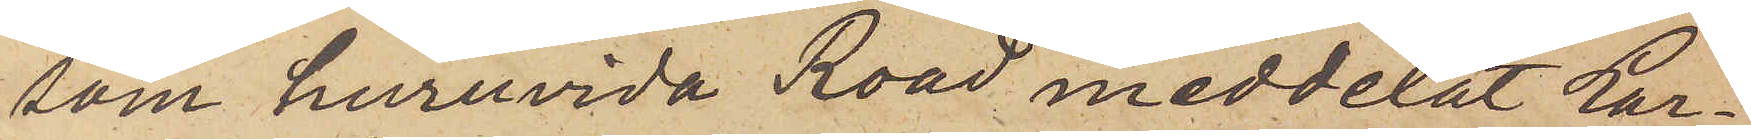som huruvida Road meddelat Lar¬
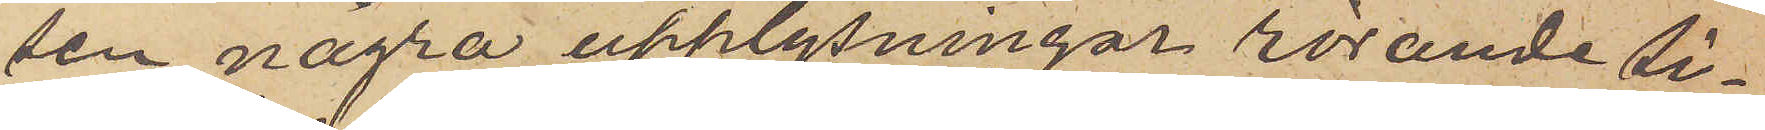sen några upplysningar rörande si¬
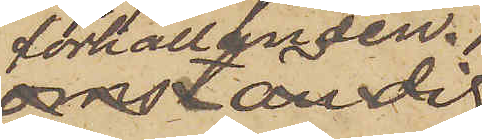förhållanden.
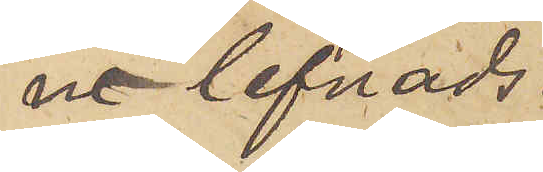ne lefnads¬
